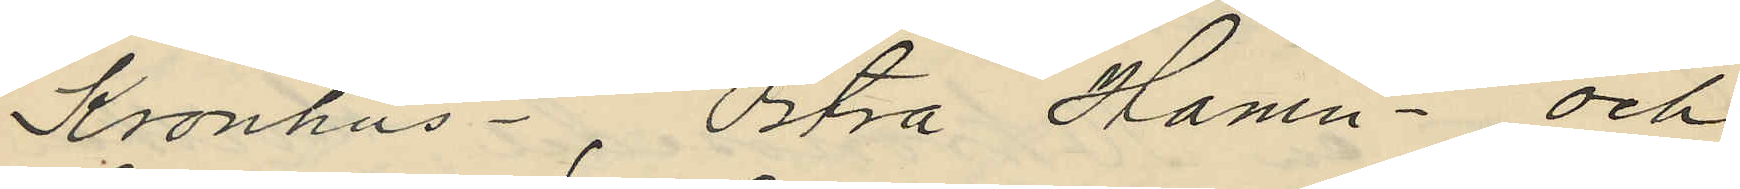Kronhus-, Östra Hamn- och
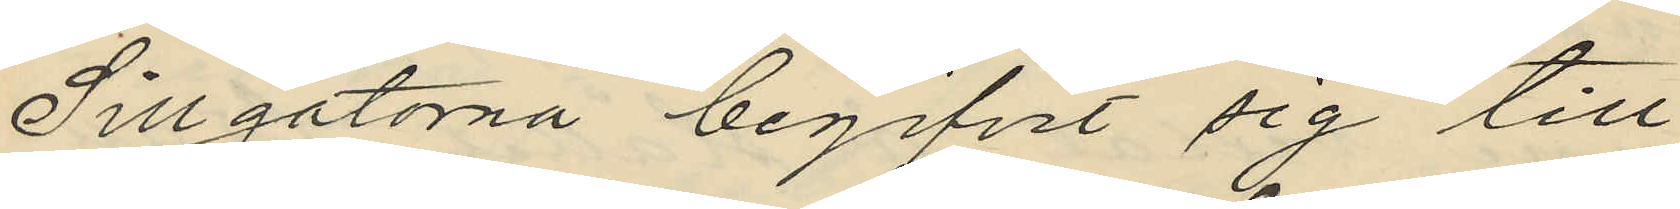Sillgatorna begifvit sig till
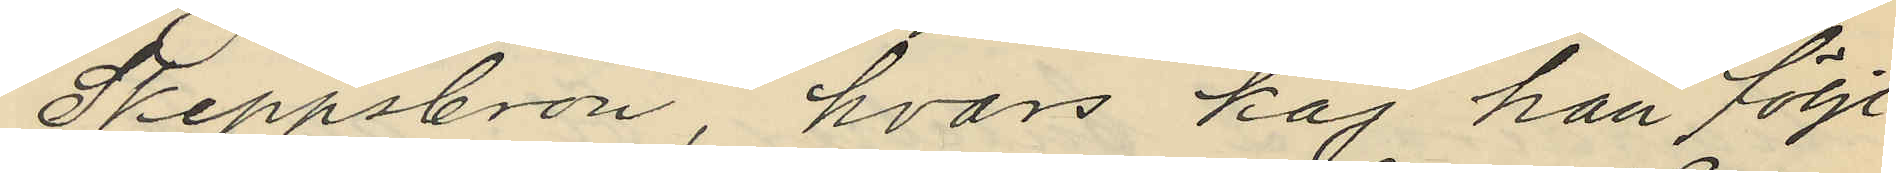Skeppsbron, hvars kaj han följt
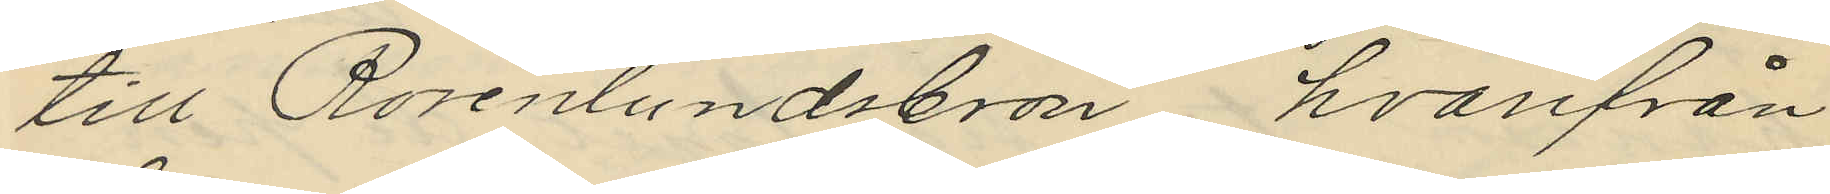till Rosenlundsbron, hvarifrån
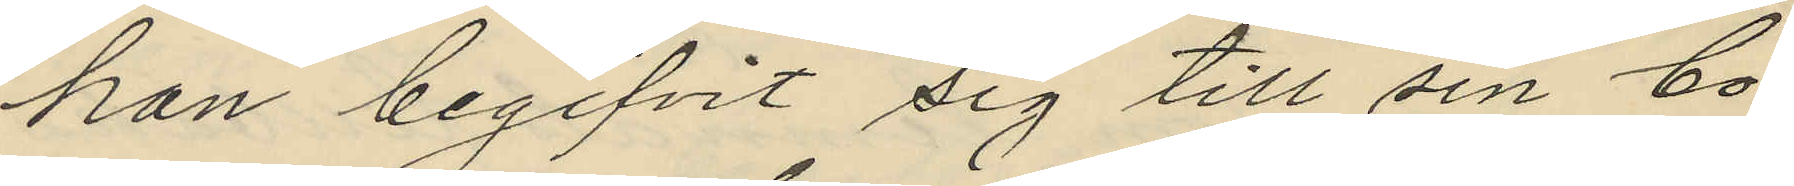han begifvit sig till sin bo¬
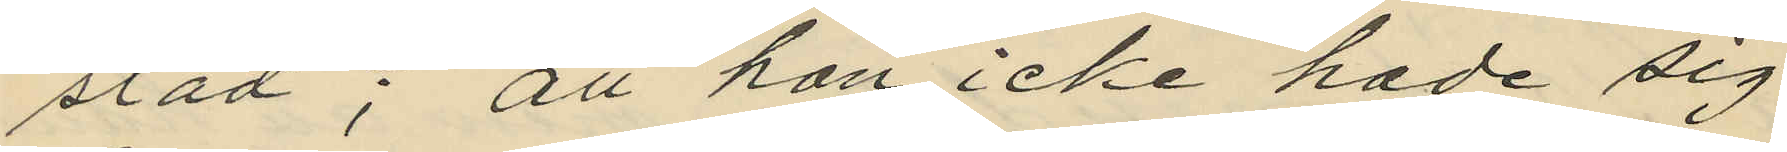stad; att han icke hade sig
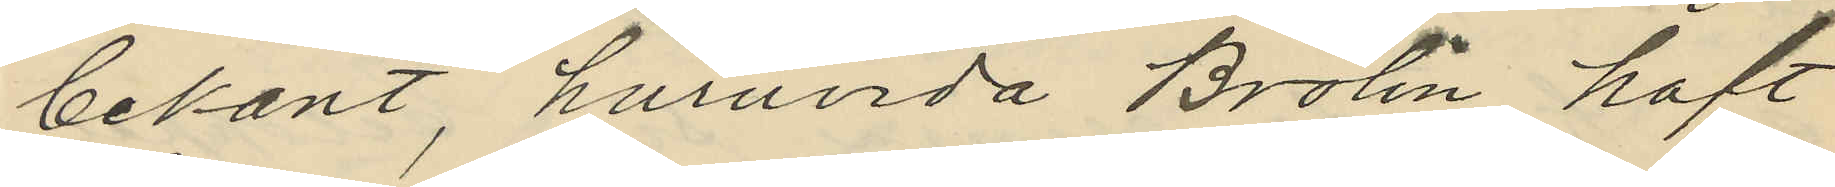bekant, huruvida Brolin haft
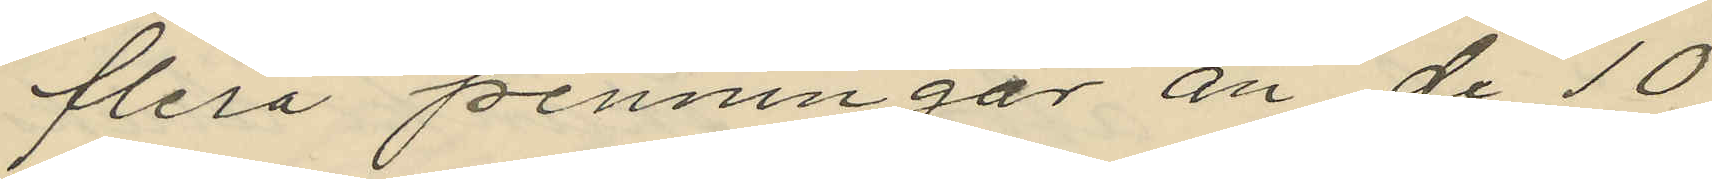flera penningar än de 10
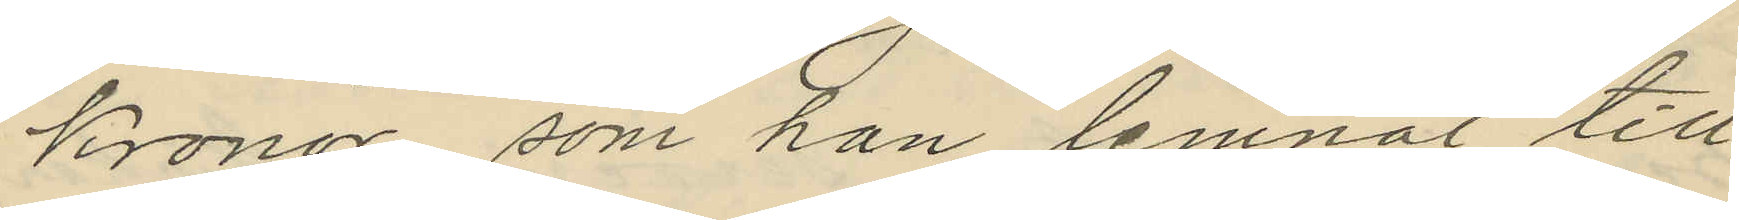kronor, som han lemnat till
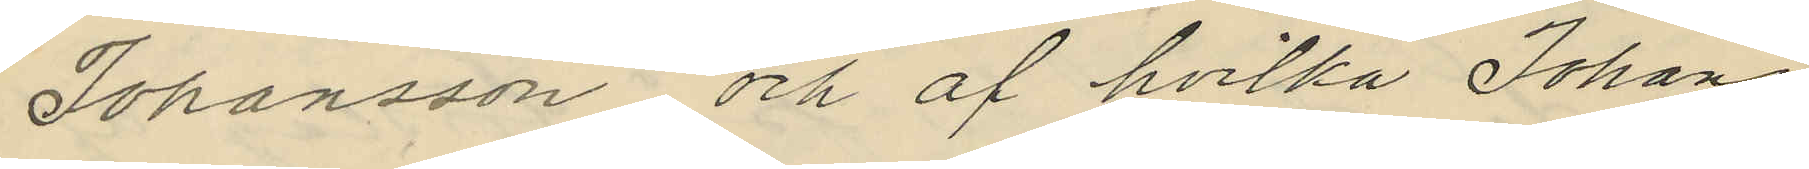Johansson, och af hvilka Johans¬
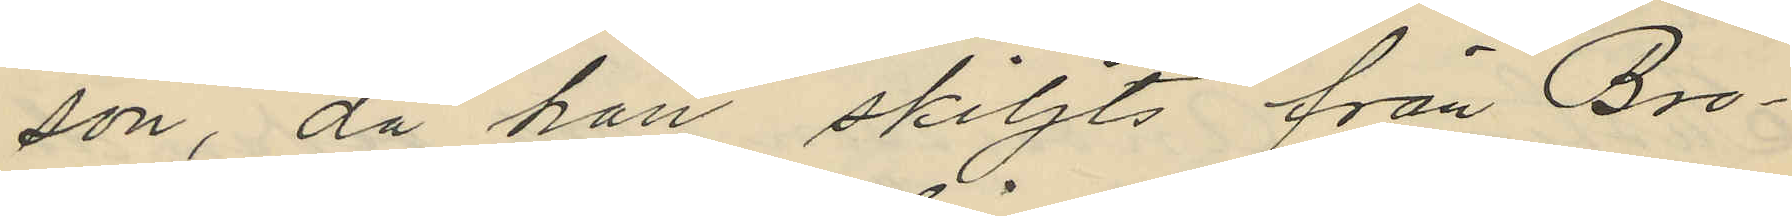son, då han skiljts från Bro¬
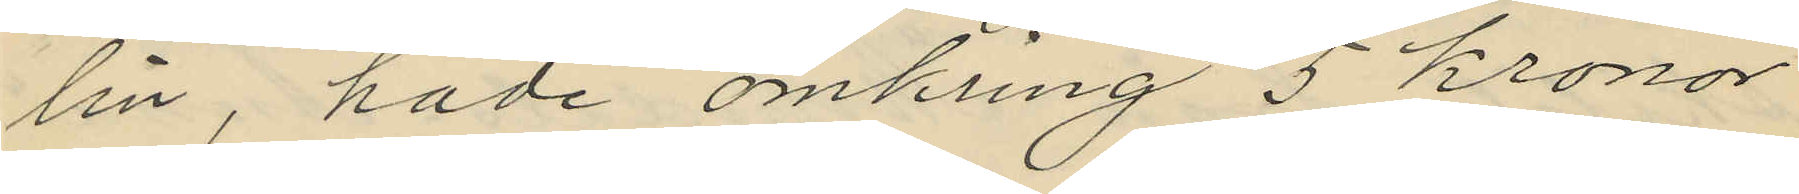lin, hade omkring 5 kronor
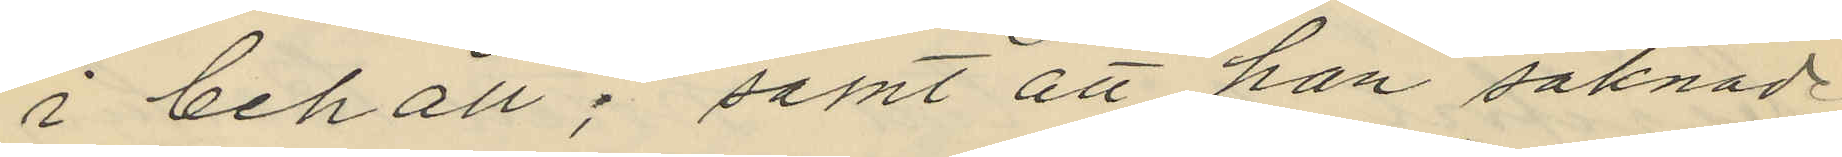i behåll; samt att han saknade
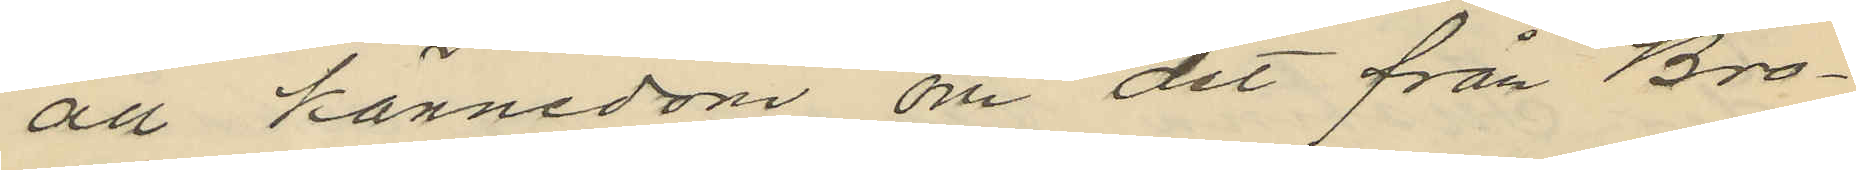all kännedom om det från Bro¬
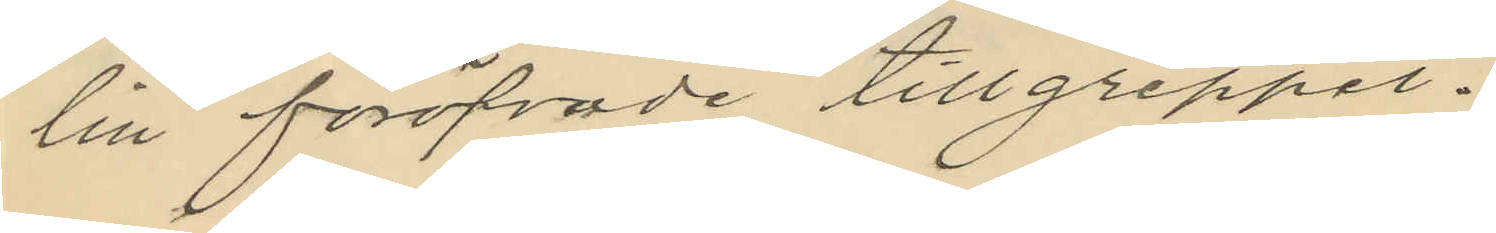lin föröfvade tillgreppet.
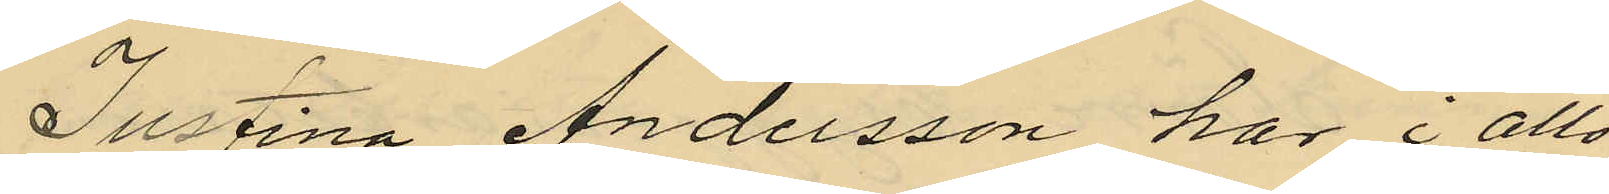Justina Andersson har i allo
